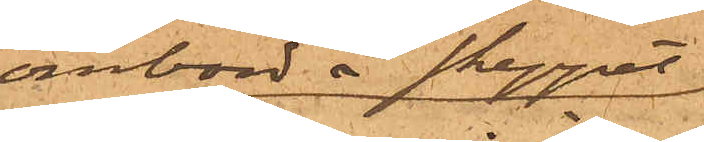ombord å skeppet
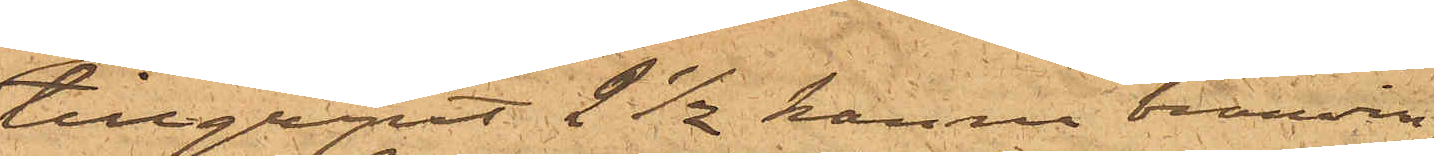tillgripit 2 ½ kanna bränvin,
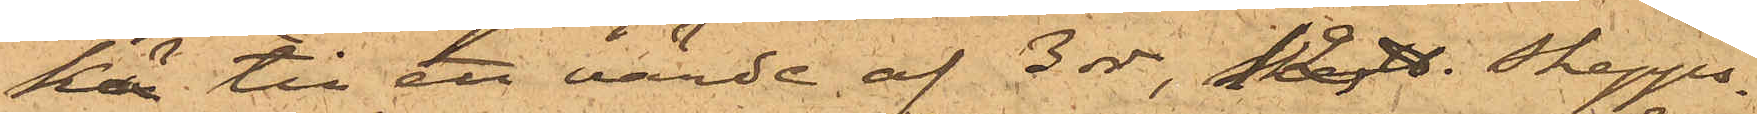ka till ett värde af 3 rdr, 12 ℔. skepps¬
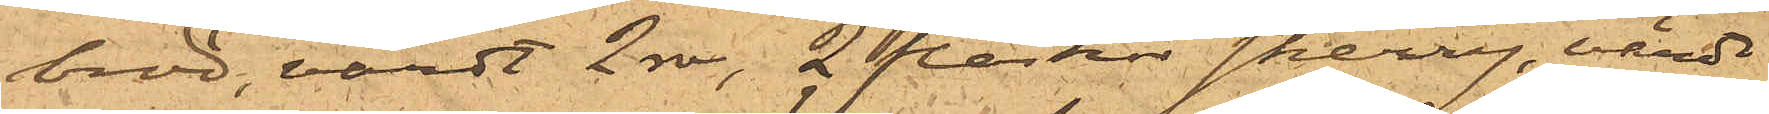bröd, värdt 2 rdr, 2 flaskor sherry, värde
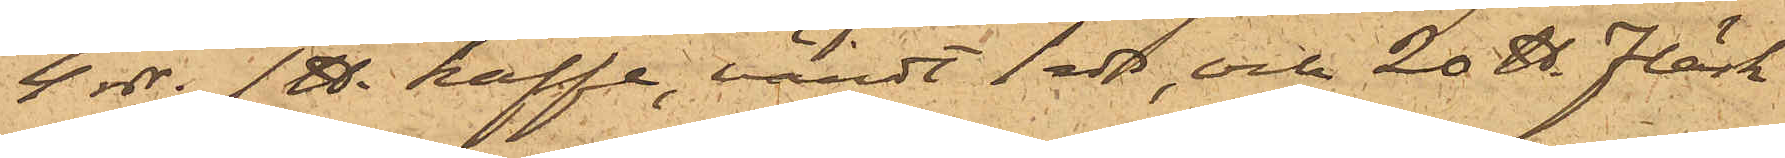4 rdr, 1℔ kaffe, värdt 1 rdr, och 20 ℔. Fläsk
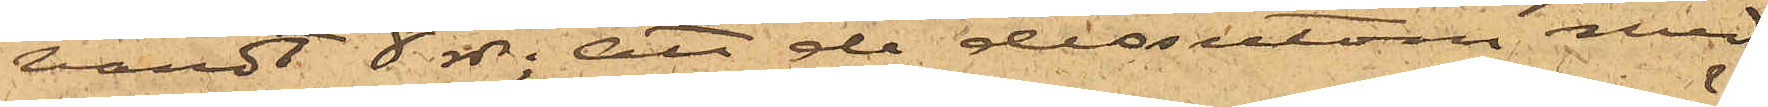värdt 8 rdr; att de dessutom med
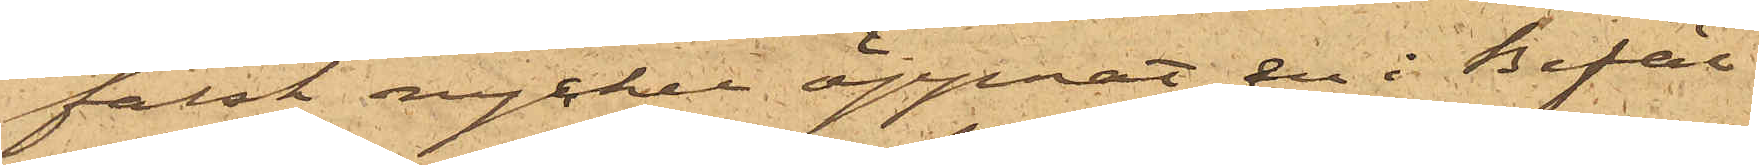falsk nyckel öppnat en i Befäl¬
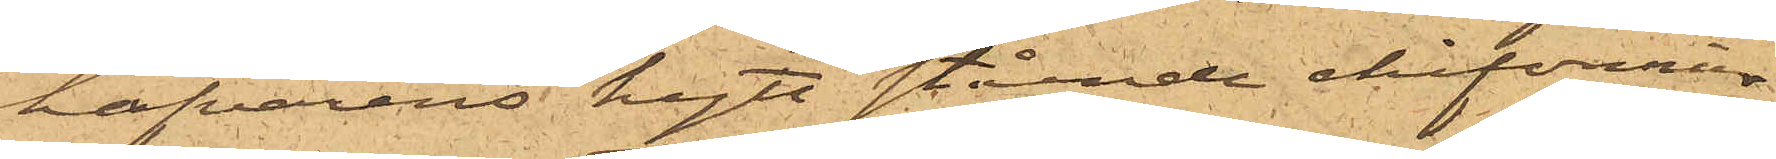hafvarens hytt stående chiffonier
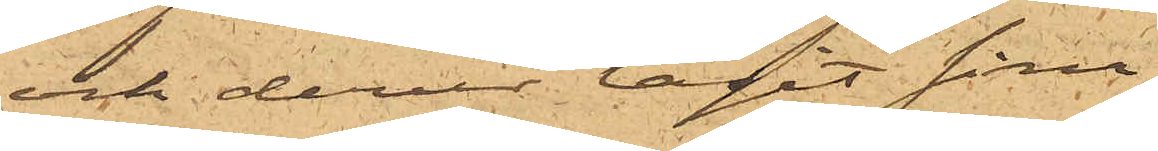och derur tagit sina
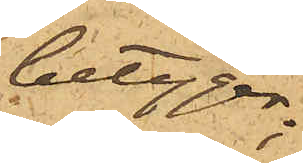betyg;
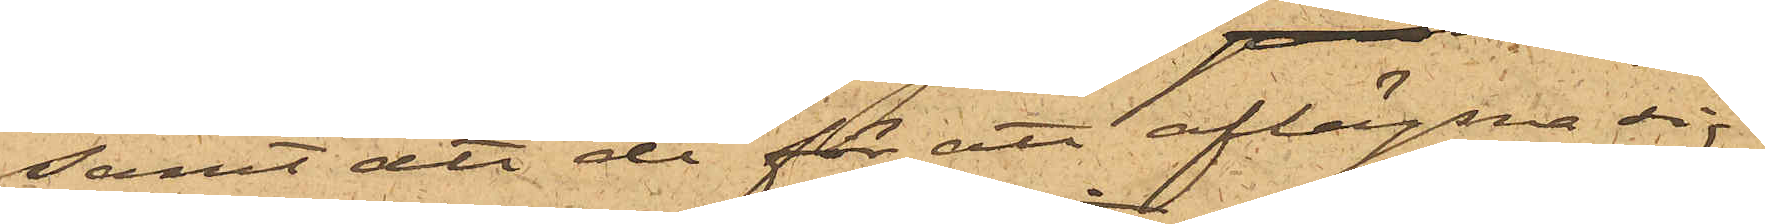samt att de för att aflägsna sig
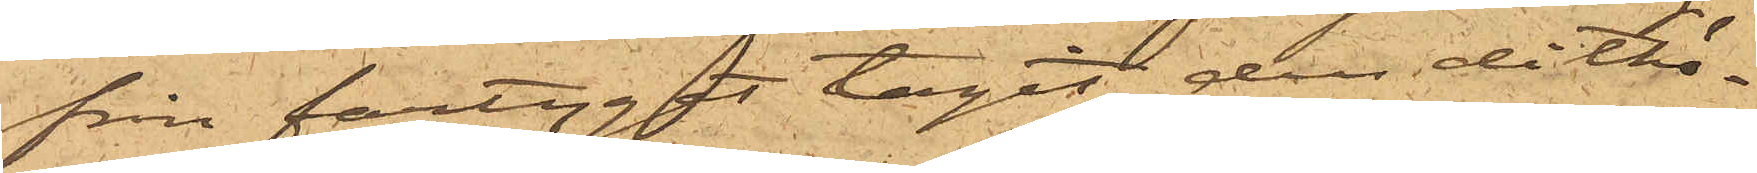från fartyget tagit den dithö¬
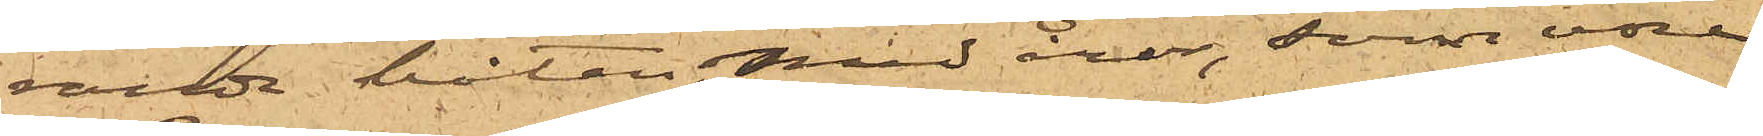rande båten, med åror, som vore
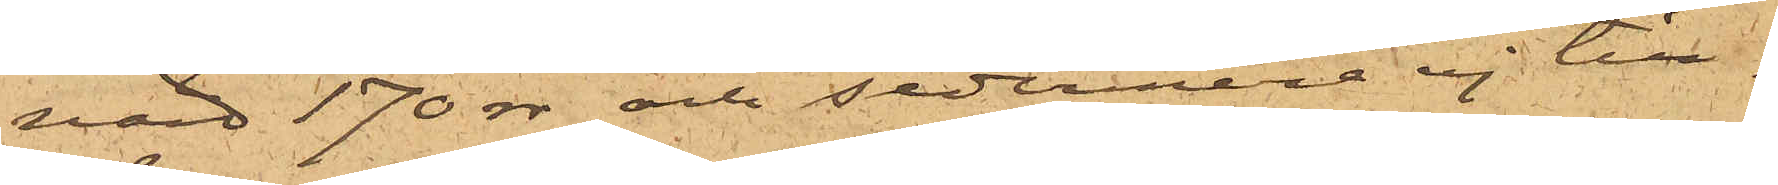värd 170 rdr och sedermere ej till¬
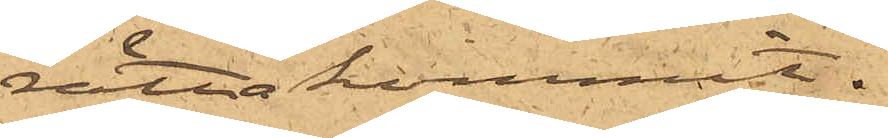rättakommit.
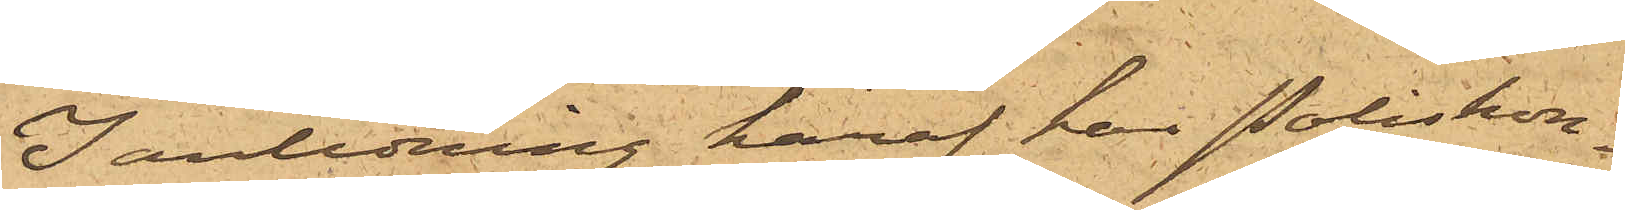I anledning häraf har Poliskon¬
